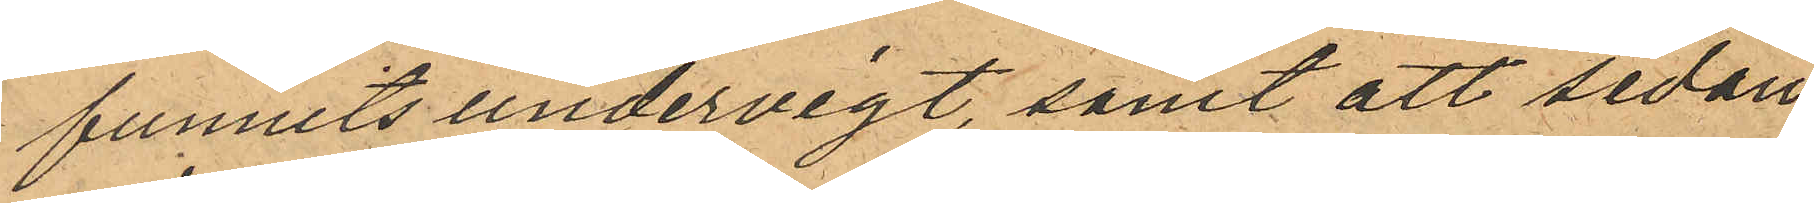funnits undervigt, samt att sedan
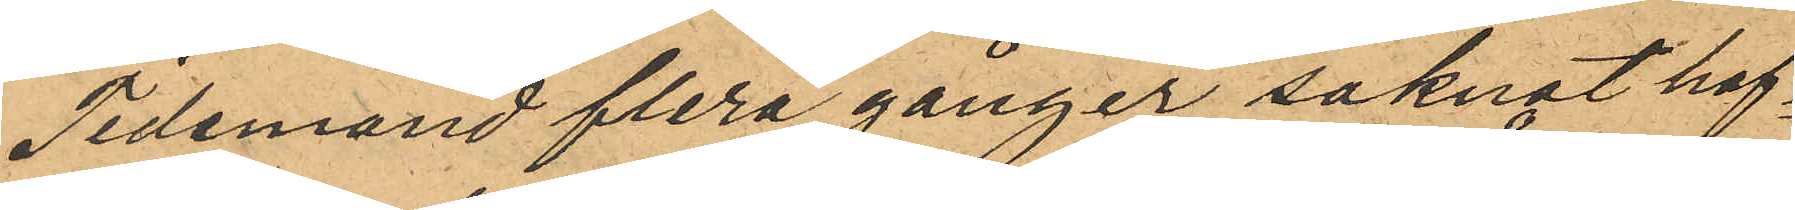Tidemand flera gånger saknat haf¬
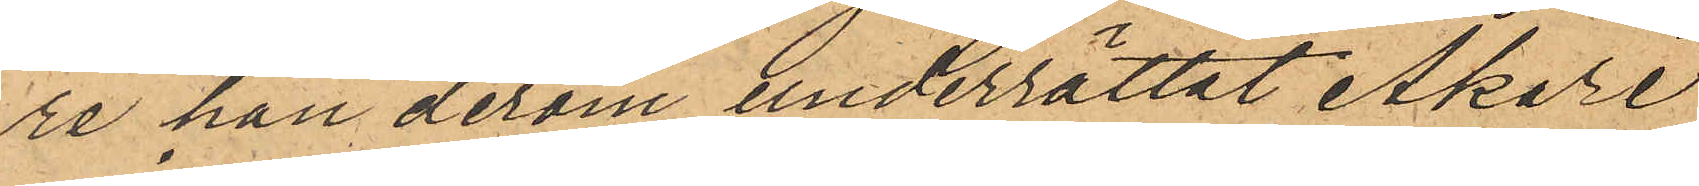re han derom underrättat Åkare
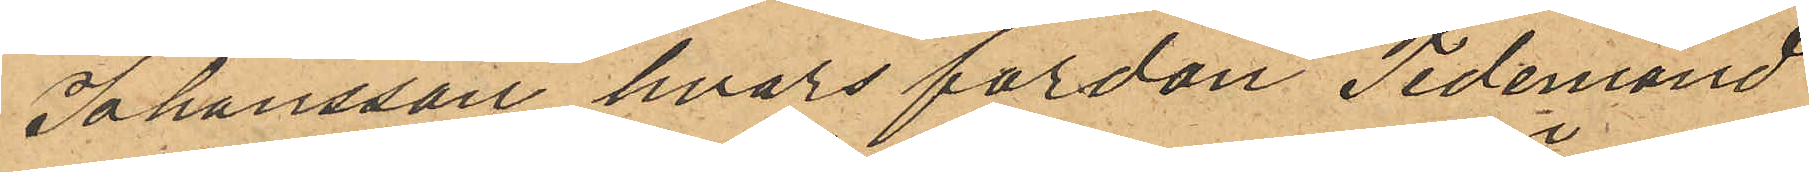Johansson, hvars fordon Tidemand
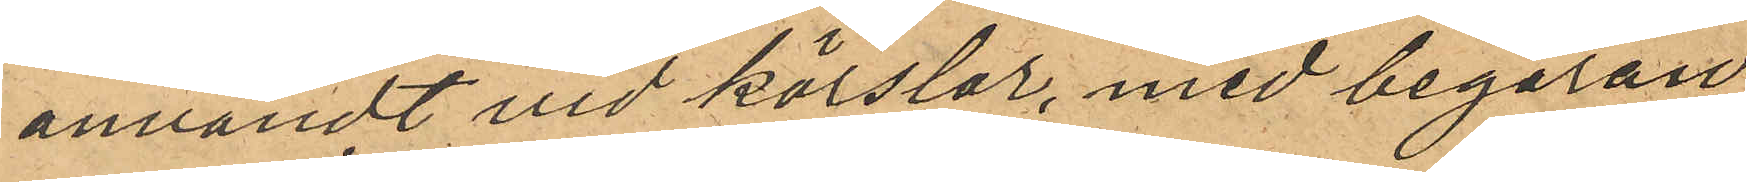användt vid körslor, med begäran
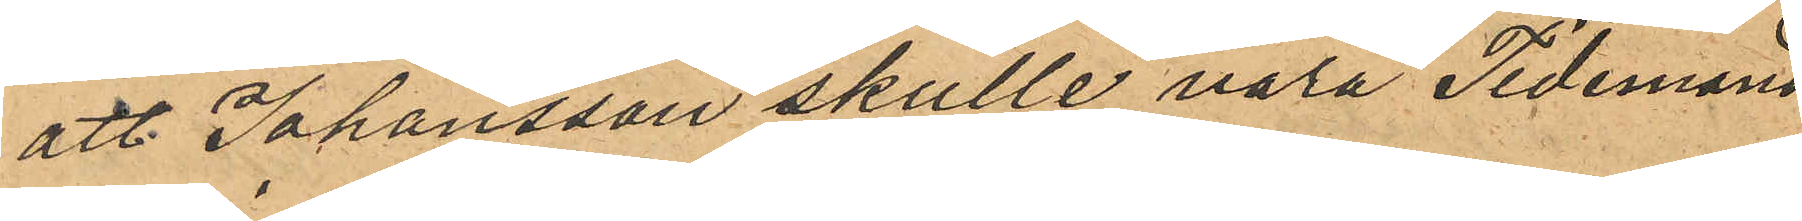att Johansson skulle vara Tidemand
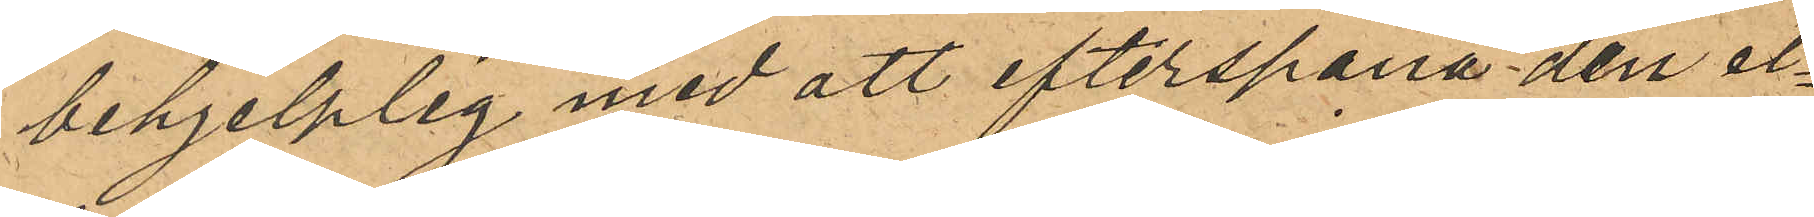behjelplig med att efterspana den el¬
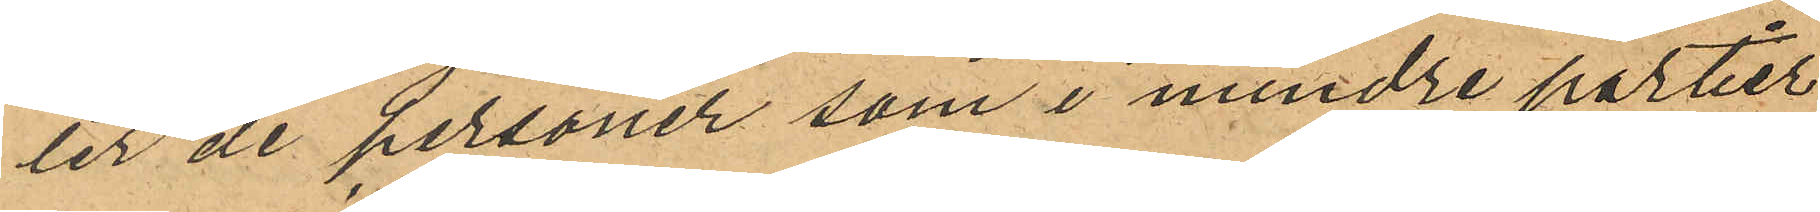ler de personer som i mindre partier
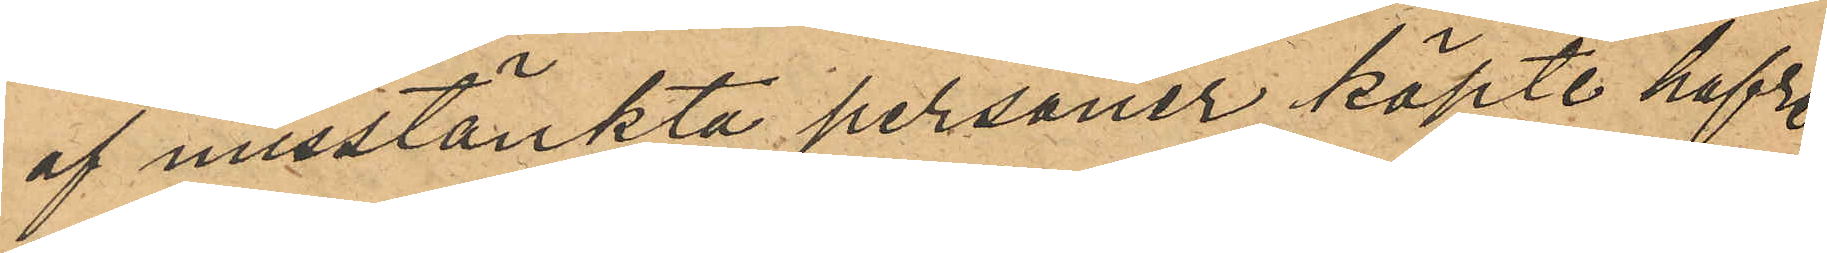af misstänkte personer köpte hafre
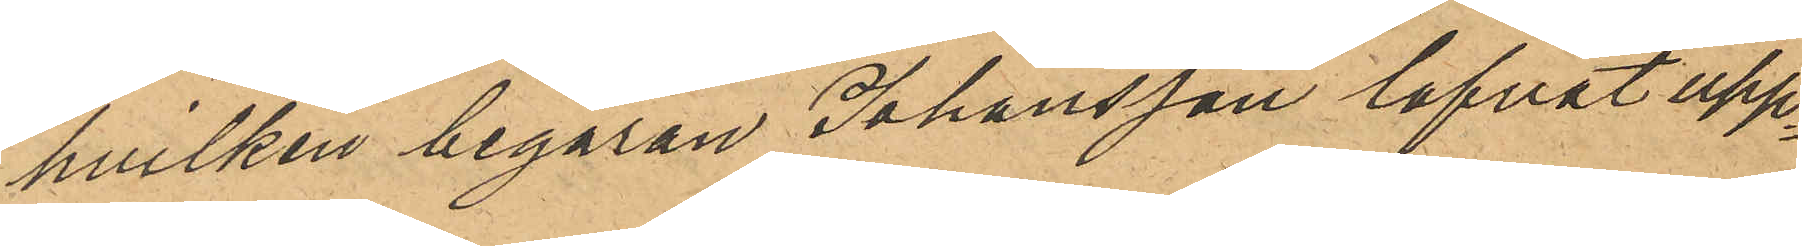hvilken begäran Johansson lofvat upp¬
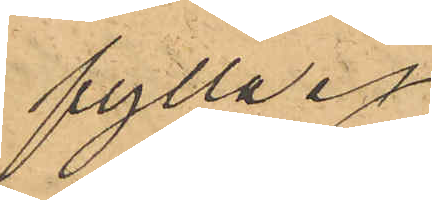fylla.
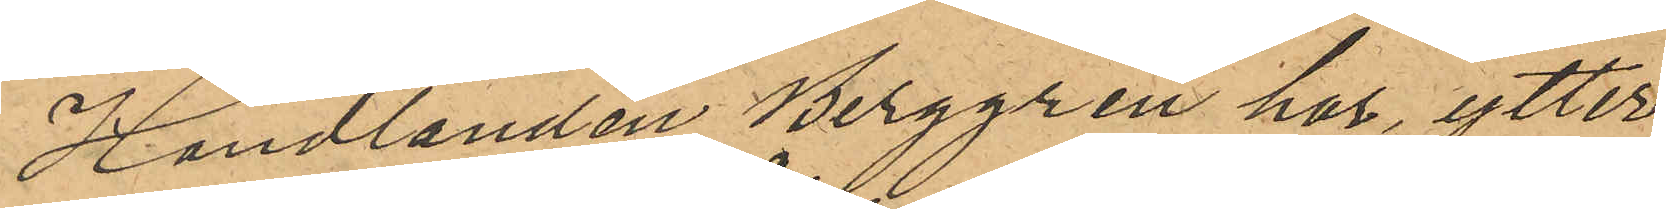Handlanden Berggren har, ytter¬
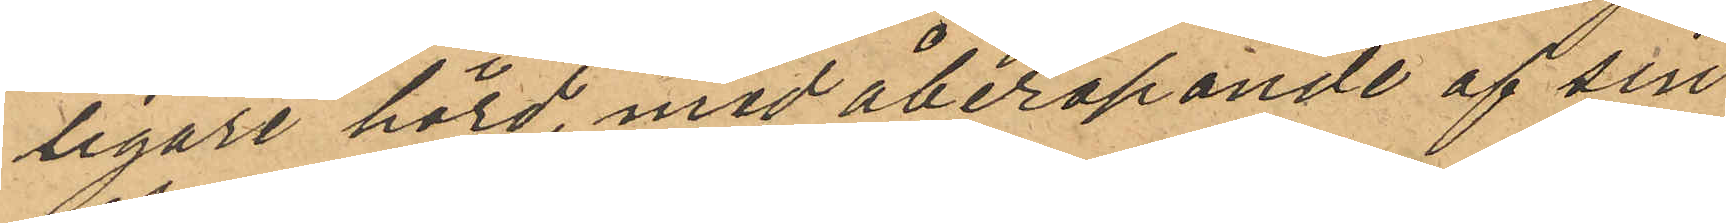ligare hörd, med åberopande af sin
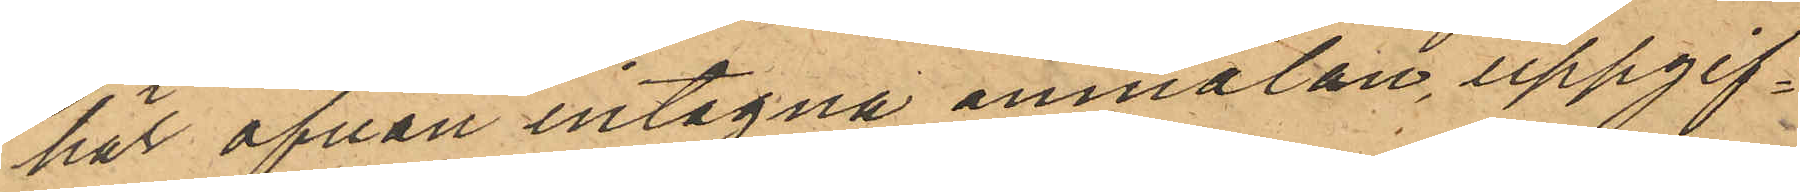här ofvan intagna anmälan, uppgif¬
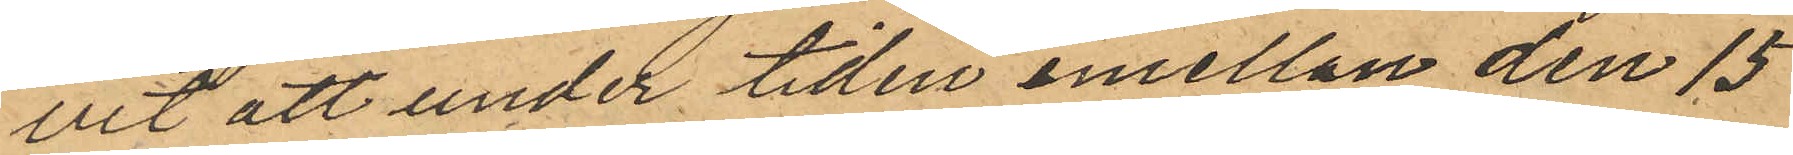vit att under tiden emellan den 15
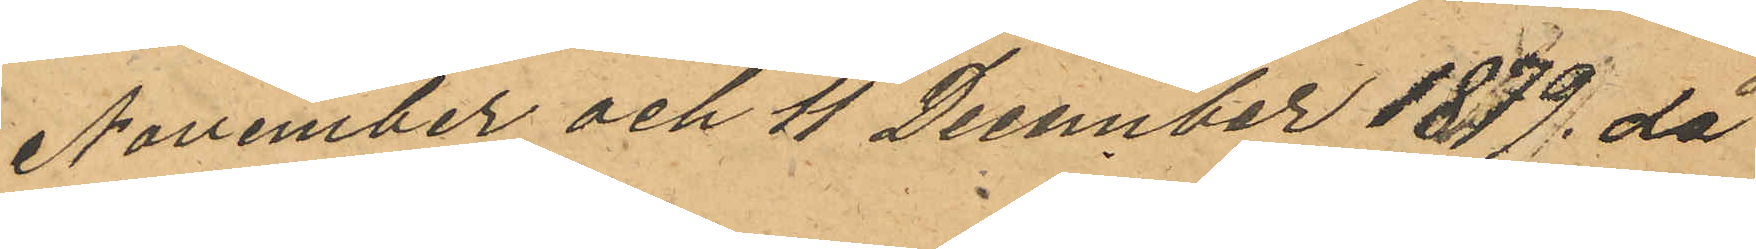November och 11 December 1879, då
